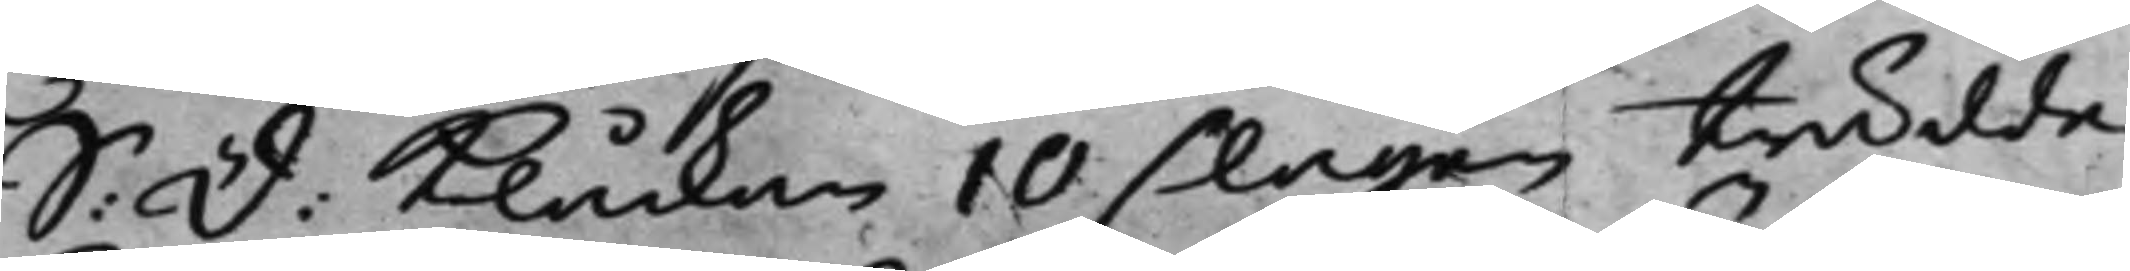S: d: Klåckan 10 slagen trädde
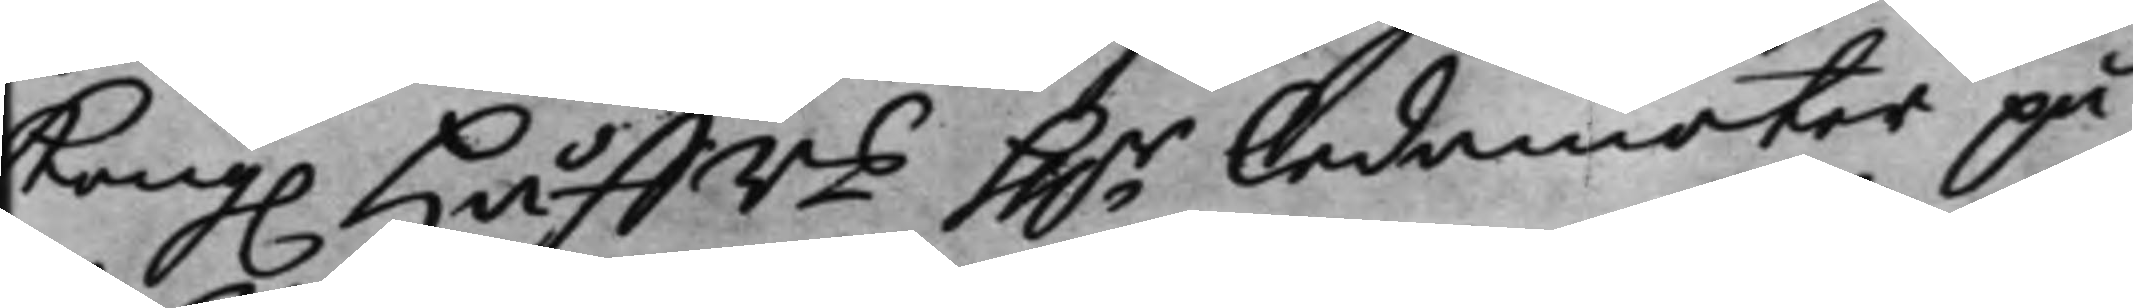Kong. Håffrs hh.r Ledamöter på
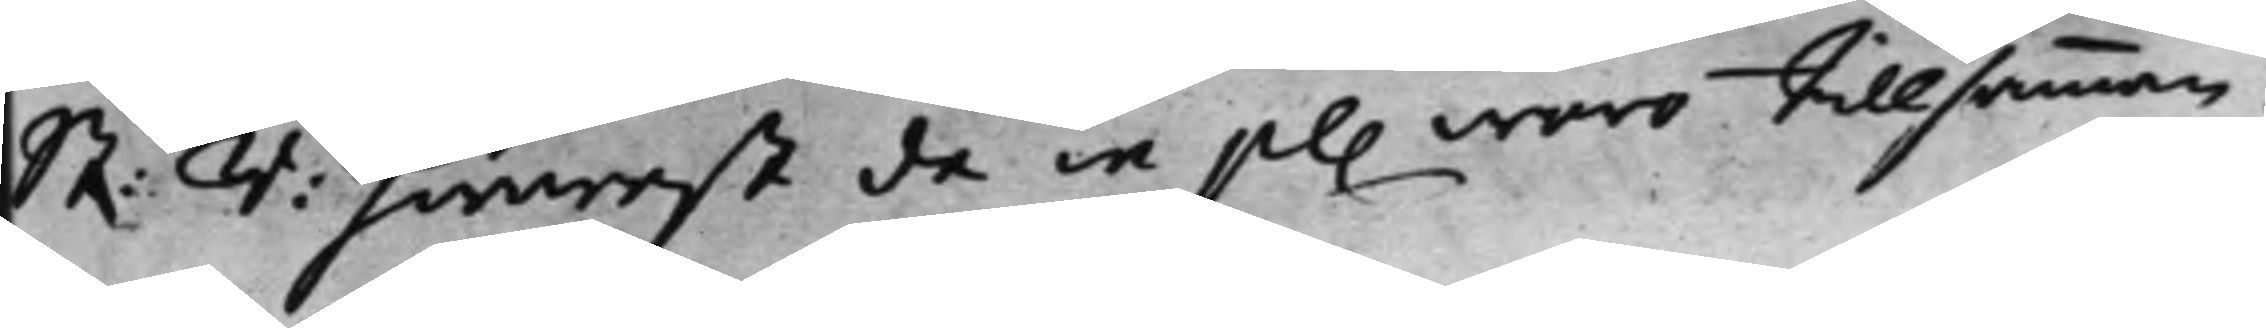St: r: hwarest de in pl. woro tillsamman.
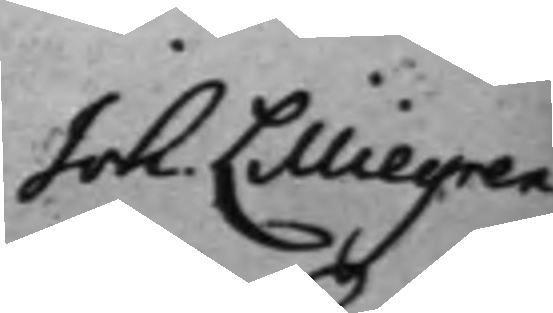Joh. Lilliegren
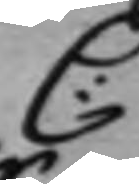C:
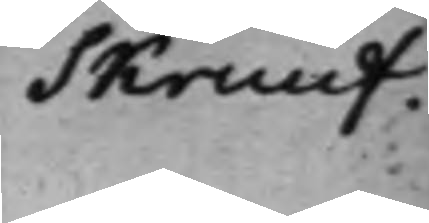Skruuf.
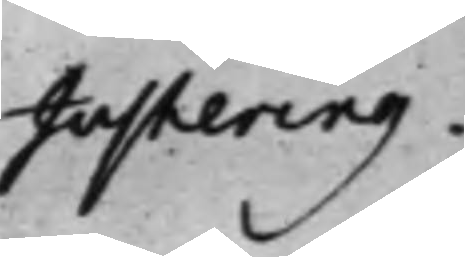Justering.
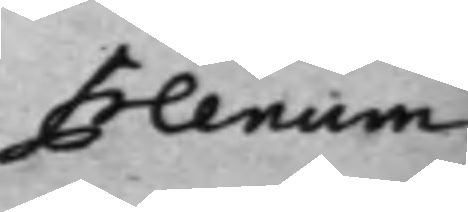Plenum.
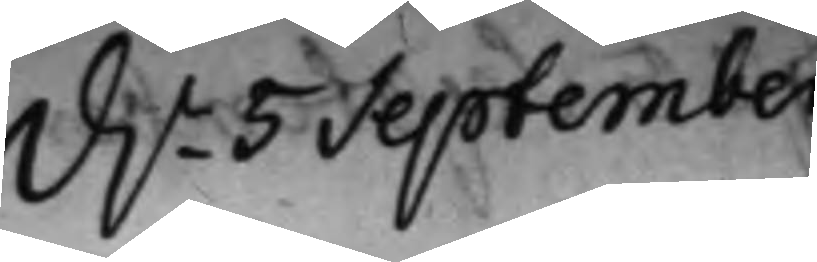d. 5 September
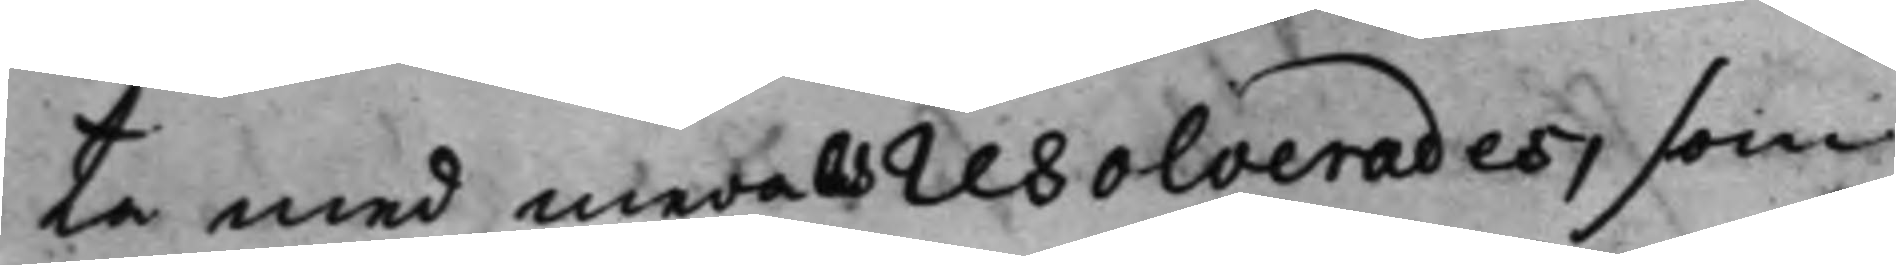ta med medels resolverades, som
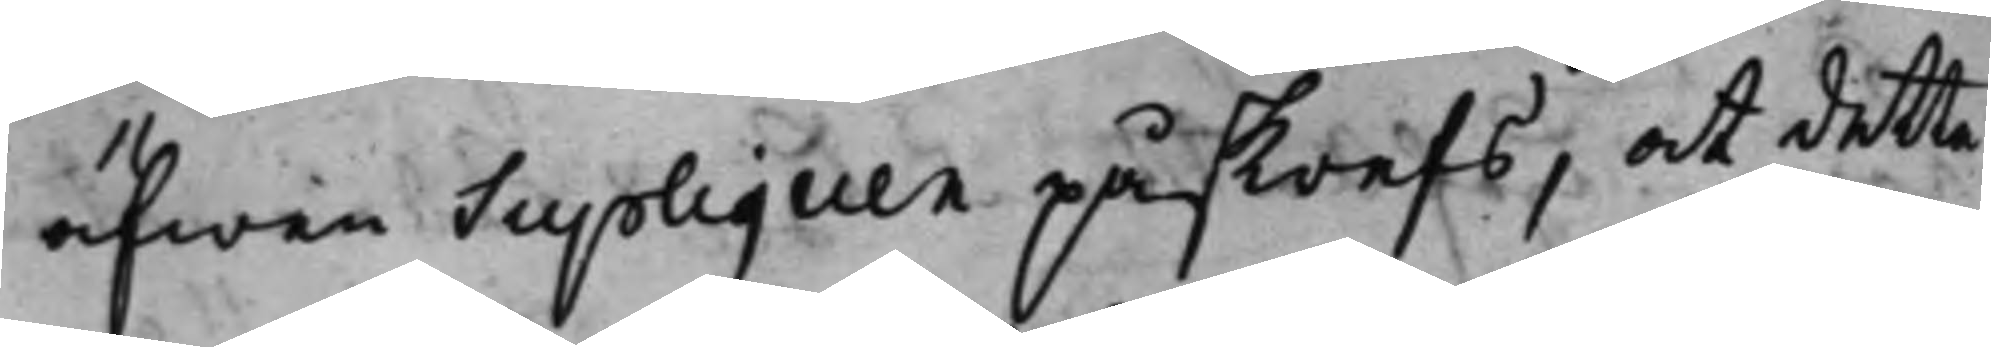äfwen Supliquen påskrefs, at detta
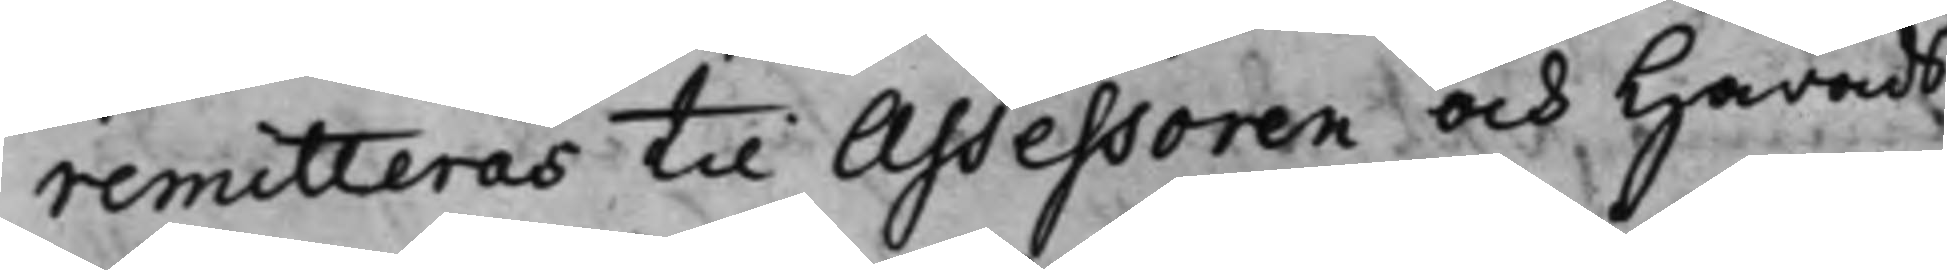remitteras til Assessoren och Härads¬
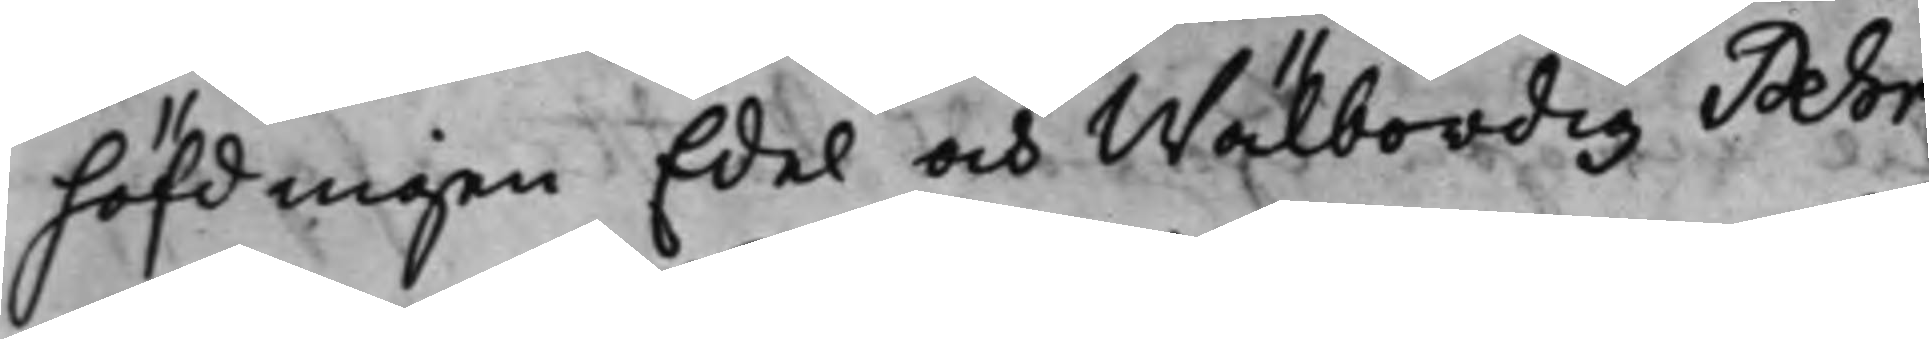höfdingen Edel och Wälbördig Pehr
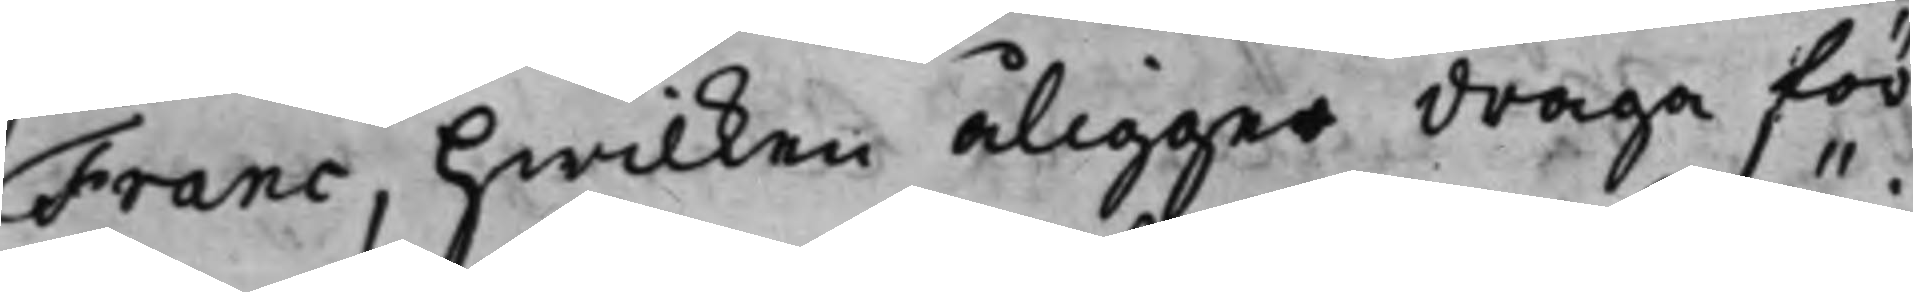Franc, hwilken åligger draga för¬
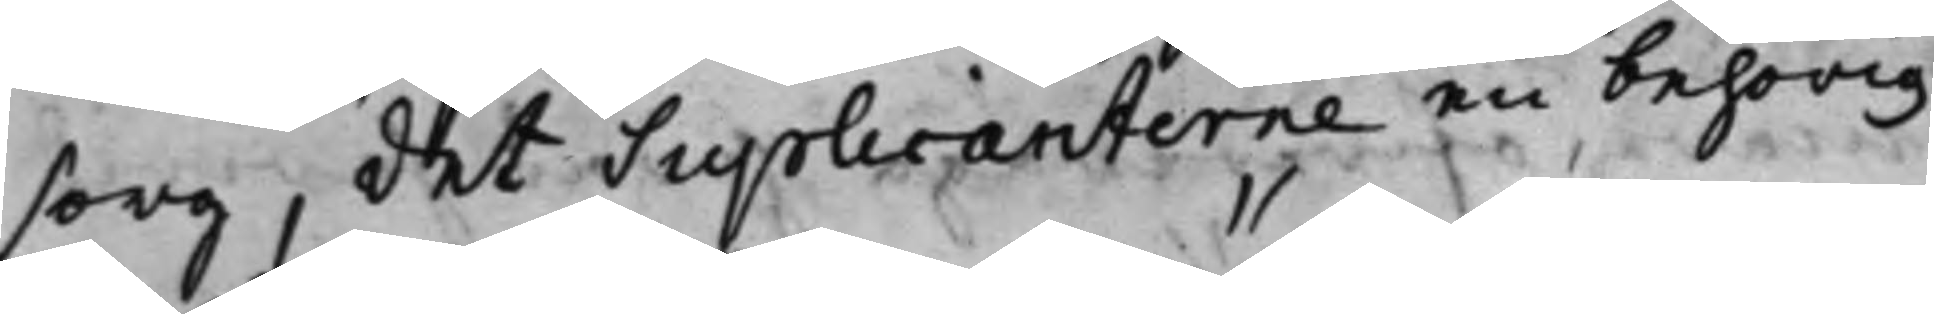sorg, det Supplicanterne en behörig
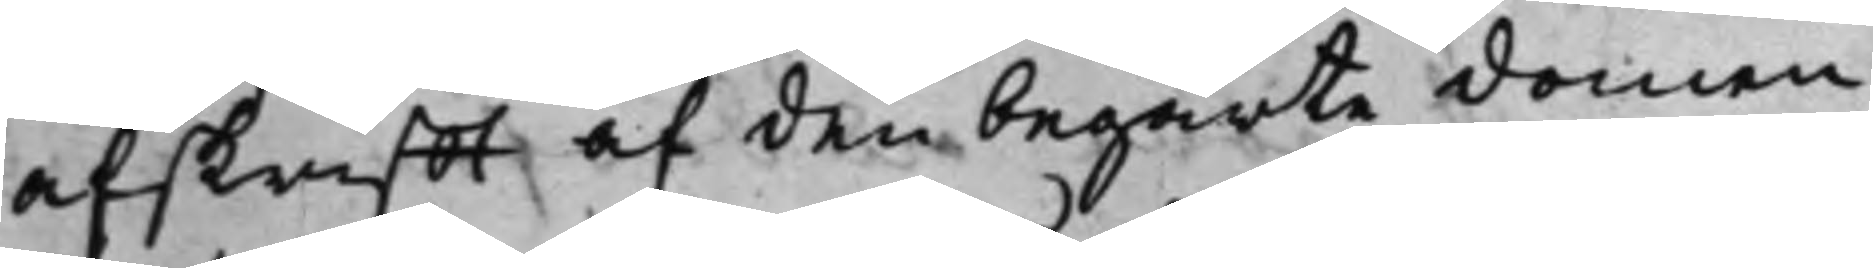afskrifft af den begärte domen
